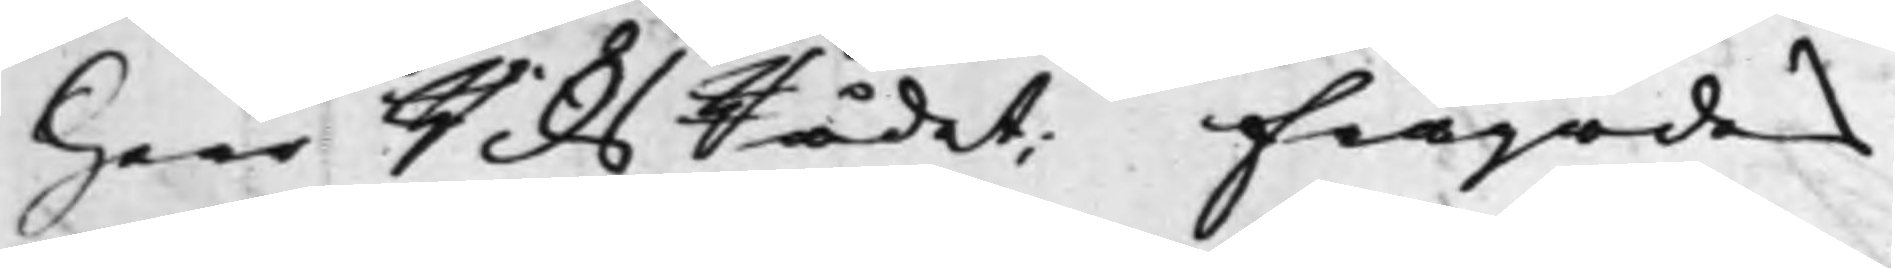Herr RiksRådet; frågades
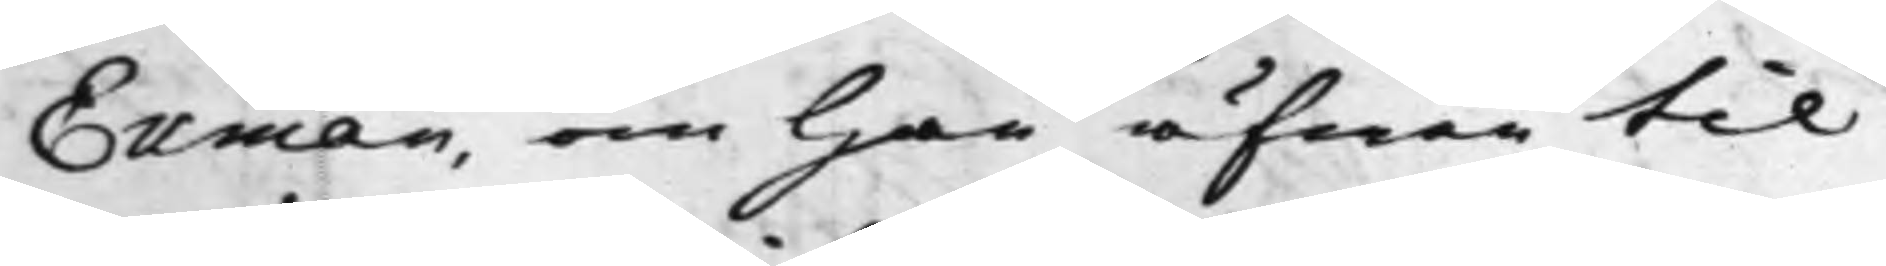Ekman, om han äfwen til
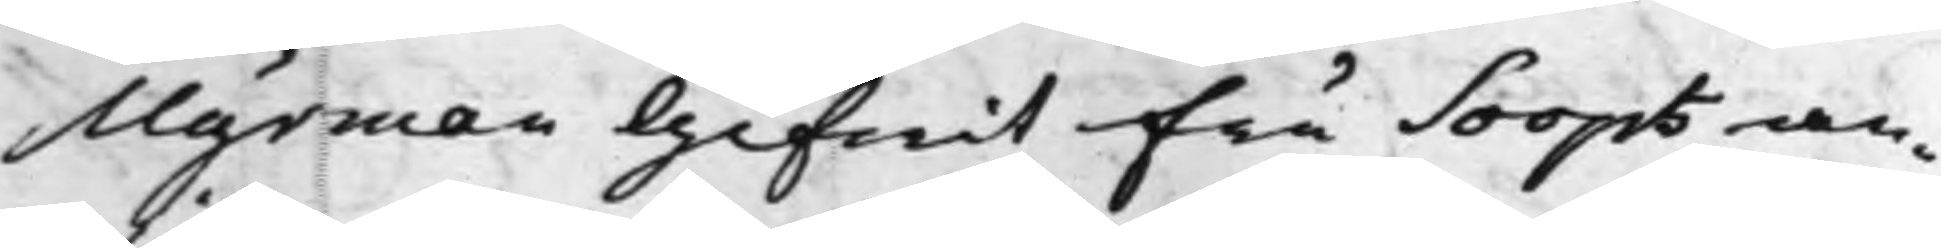Myrman Gifwit fru Soops an¬
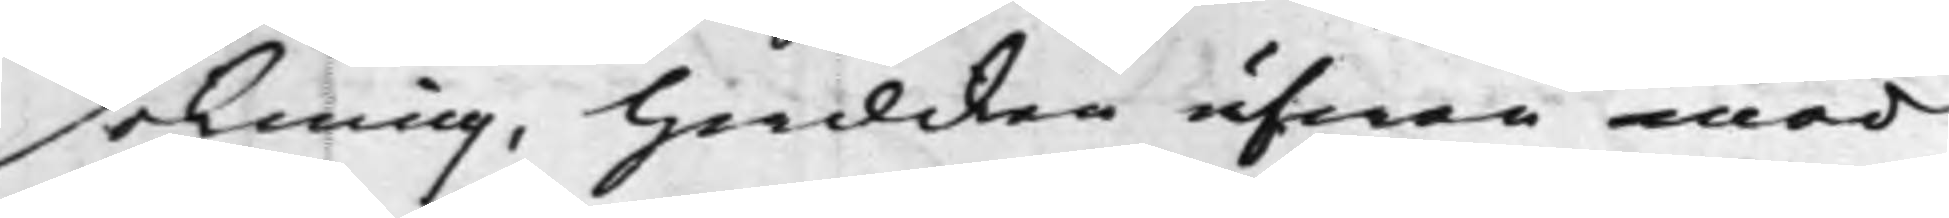sökning, hwilken äfwen med
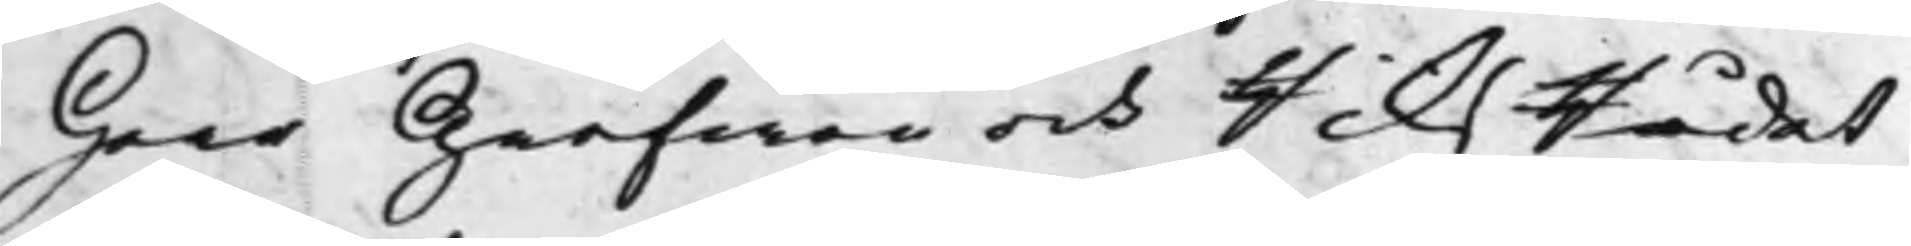Herr Grefwen och RiksRådet
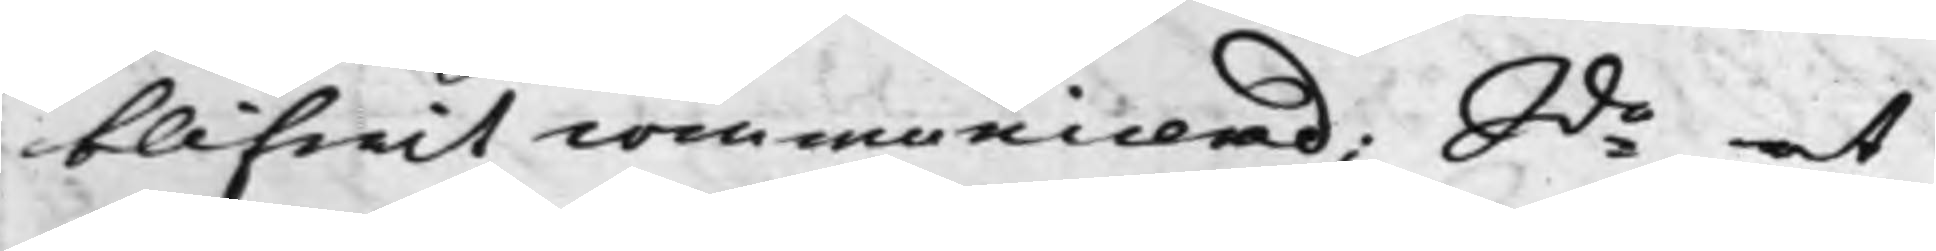blifwit communicerad; Sde at
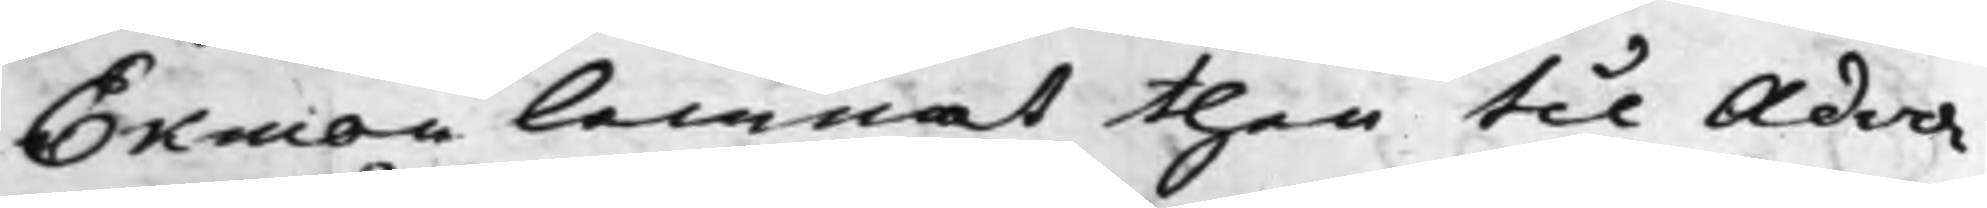Ekman lemnat then til Advo¬
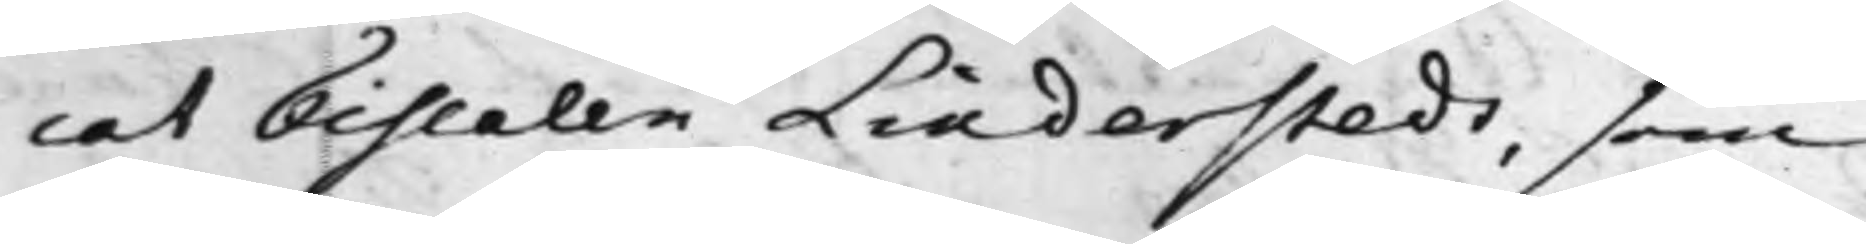cat Fiscalen Linderstedt, som
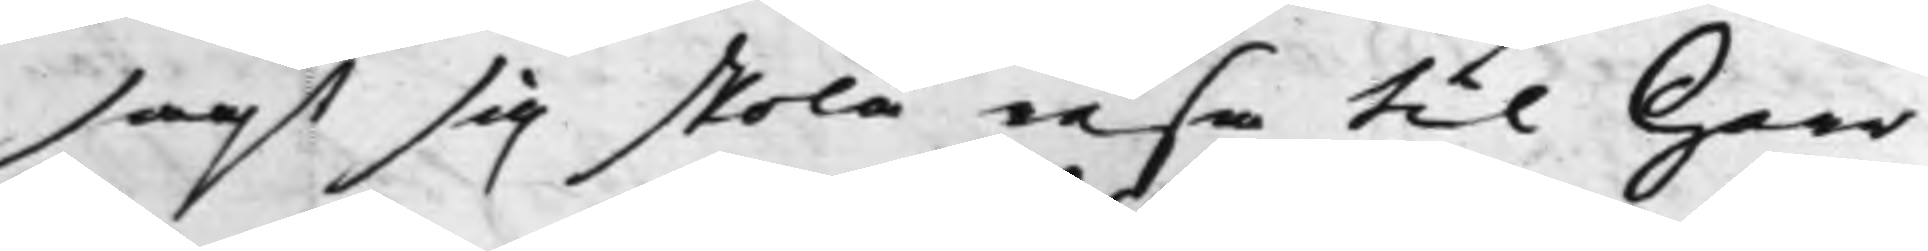sagt sig skola resa til Herr
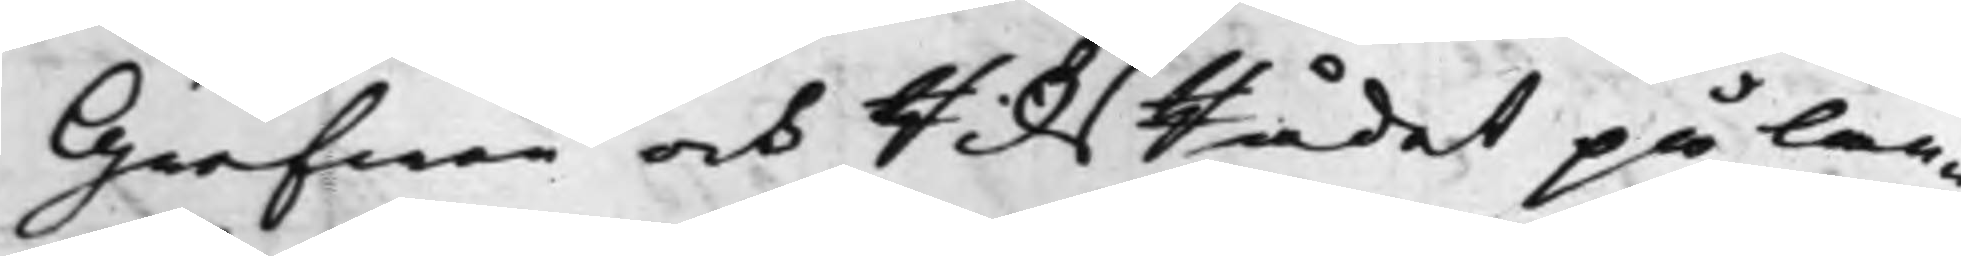Grefwen och RiksRådet på lan¬
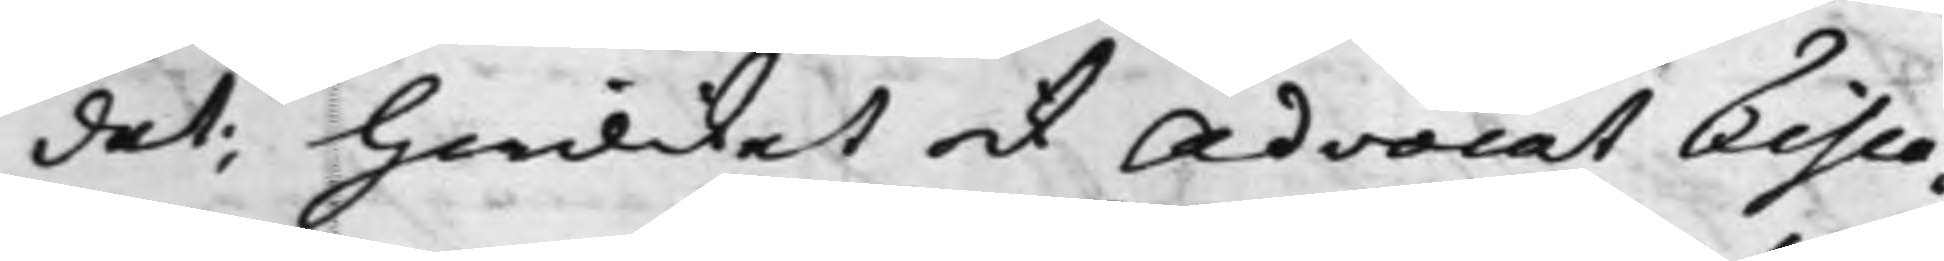det; hwilcket ock Advocat Fisca¬
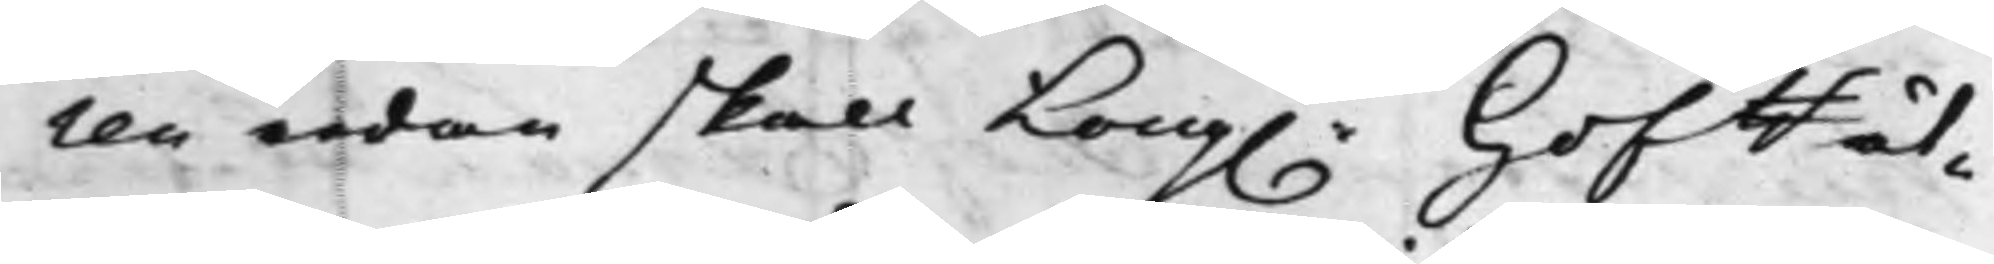len redan skall Kong.e HofRät¬
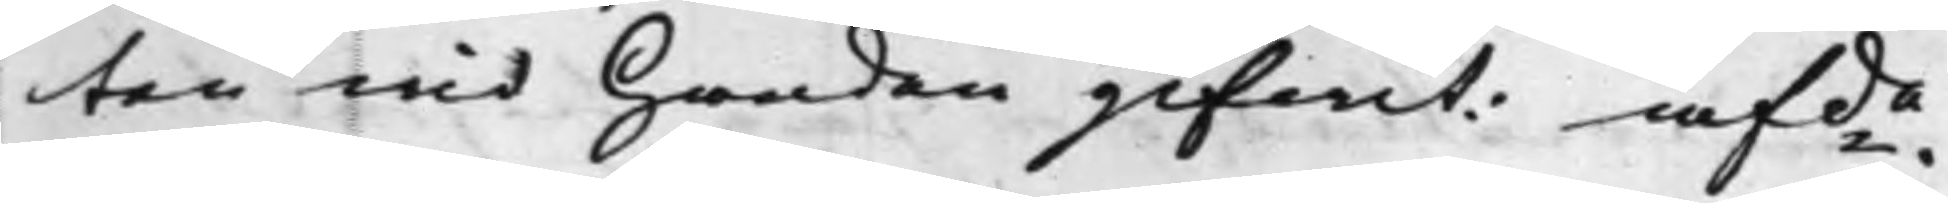ten wid Handen gifwit. afde.
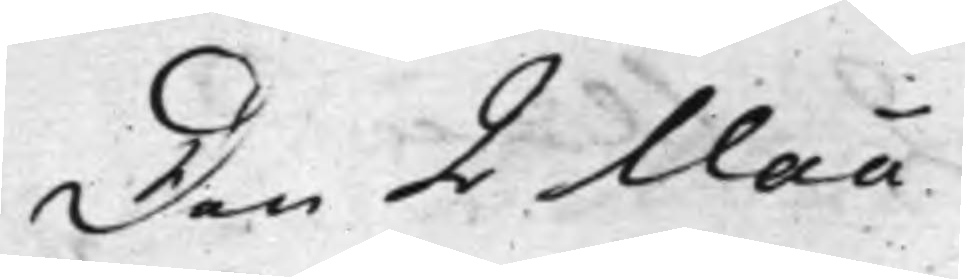Den 2 Maii.
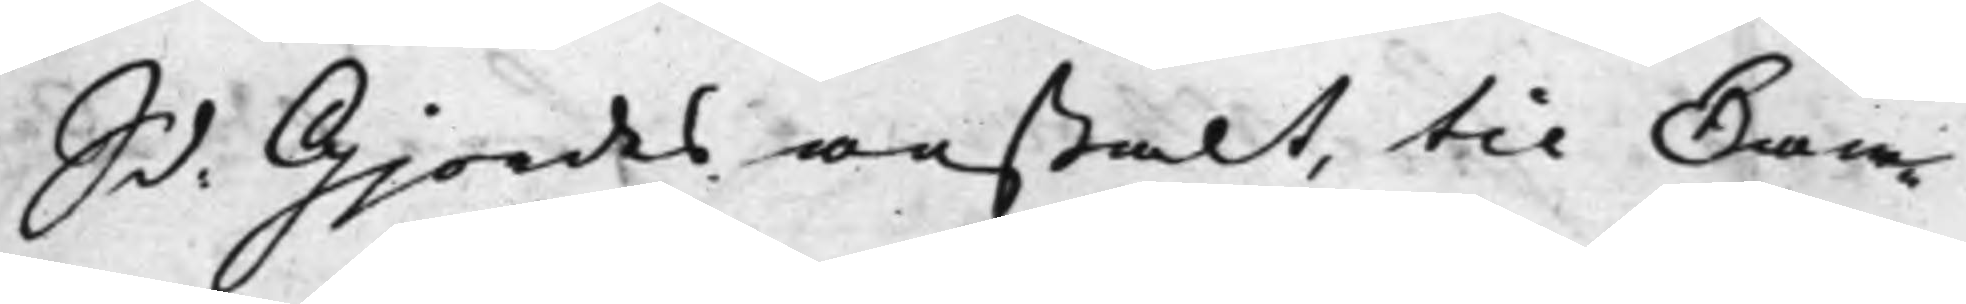S d: Gjordes anstalt, til Kam¬
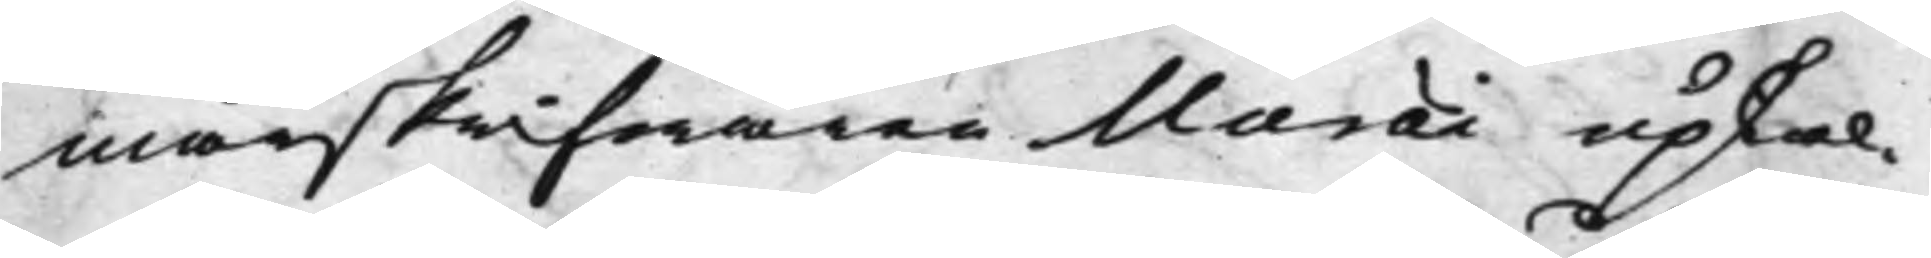marskrifwaren Maræi upkal¬
